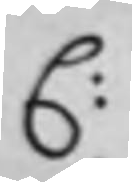C:
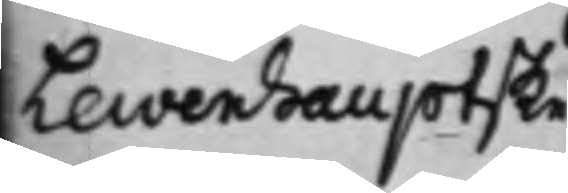Lewenhauptske
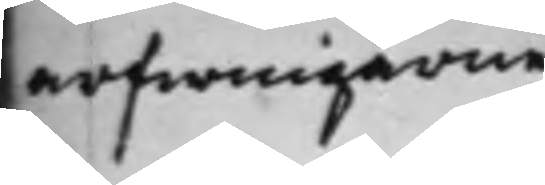arfwingarne
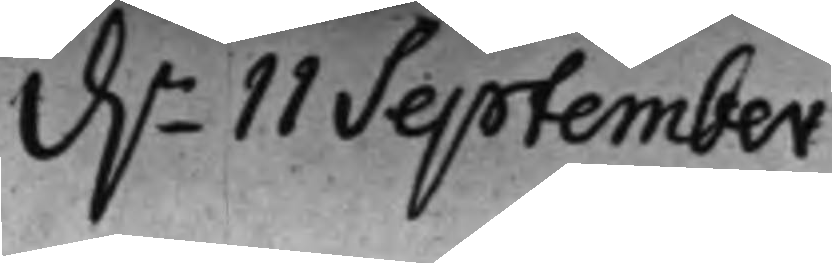d.n 11 September
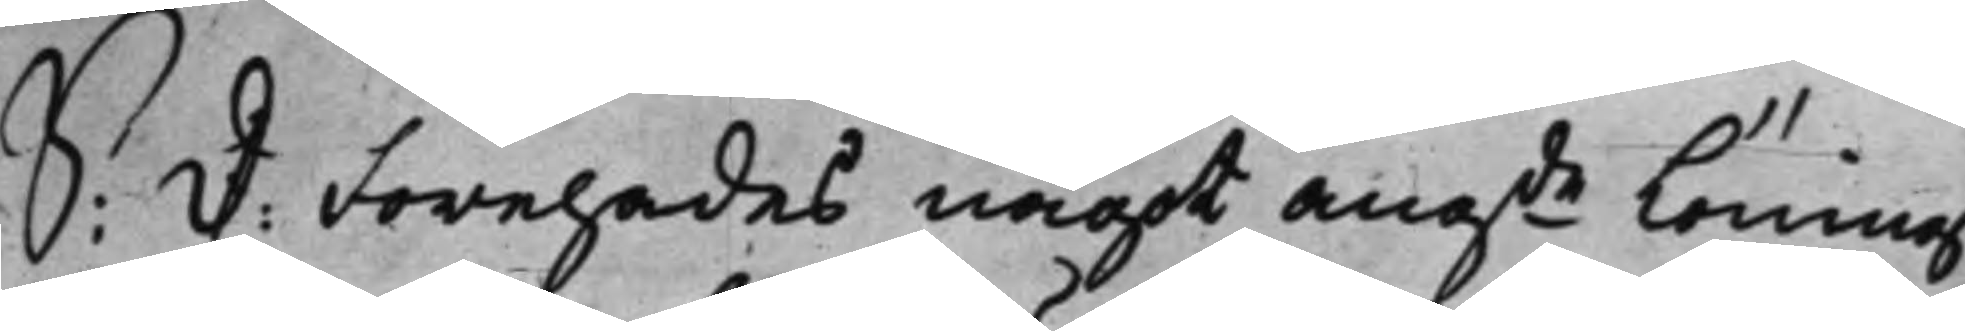S:D: Förehades något angde Lönings¬
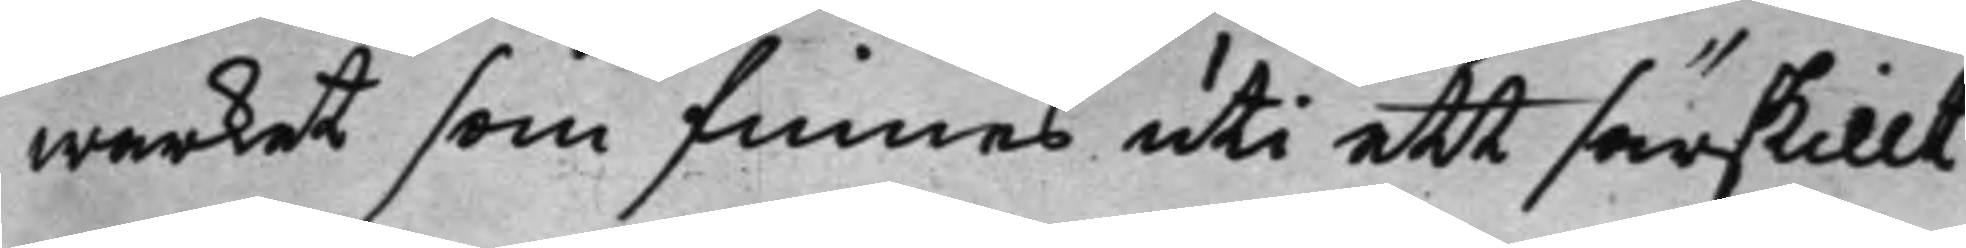warket som finnes uti ett särskillt
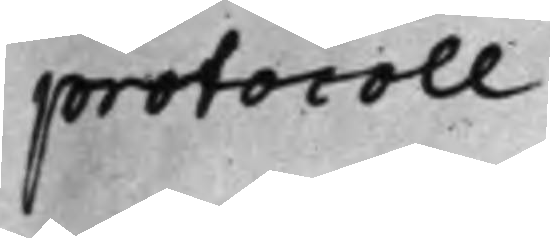protocoll
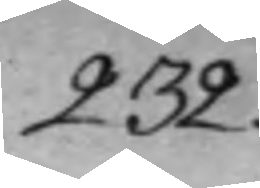232.
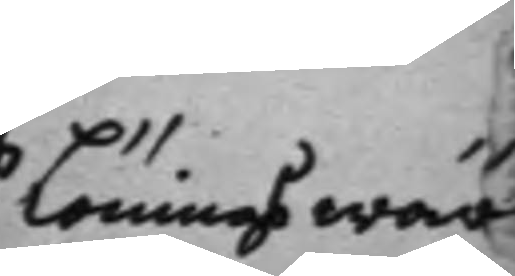Lönings wär¬
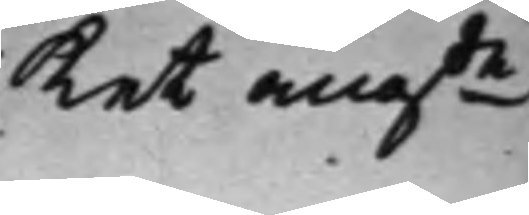ket angde
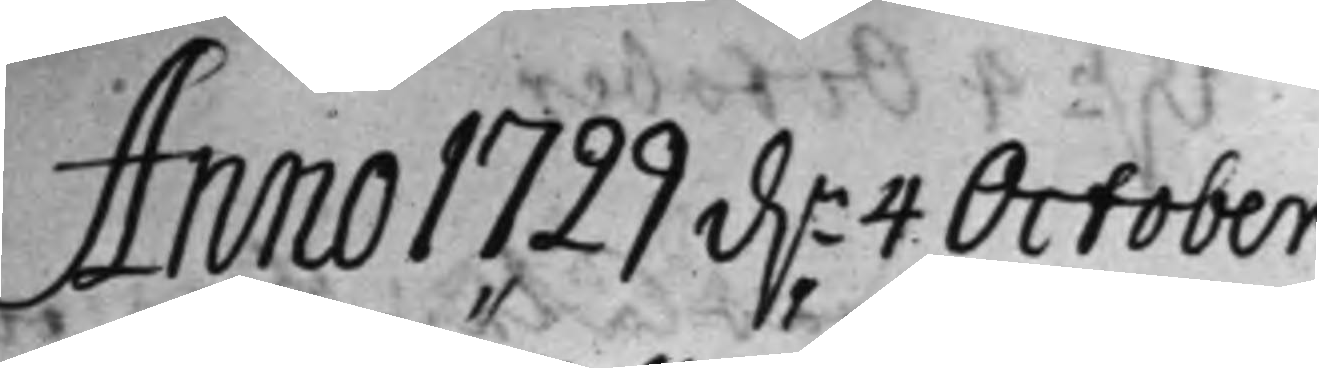Anno 1722 d. 4 October
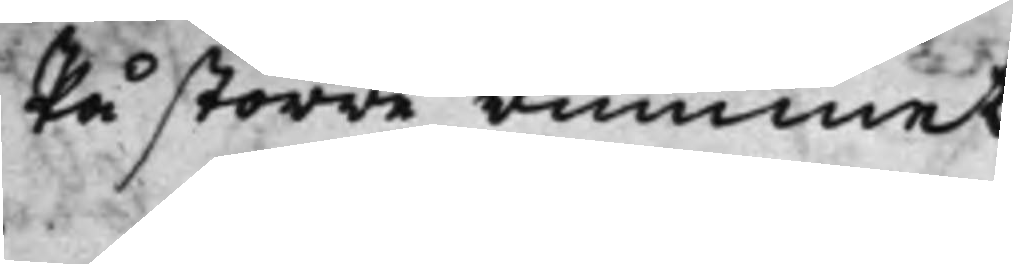På större rummet
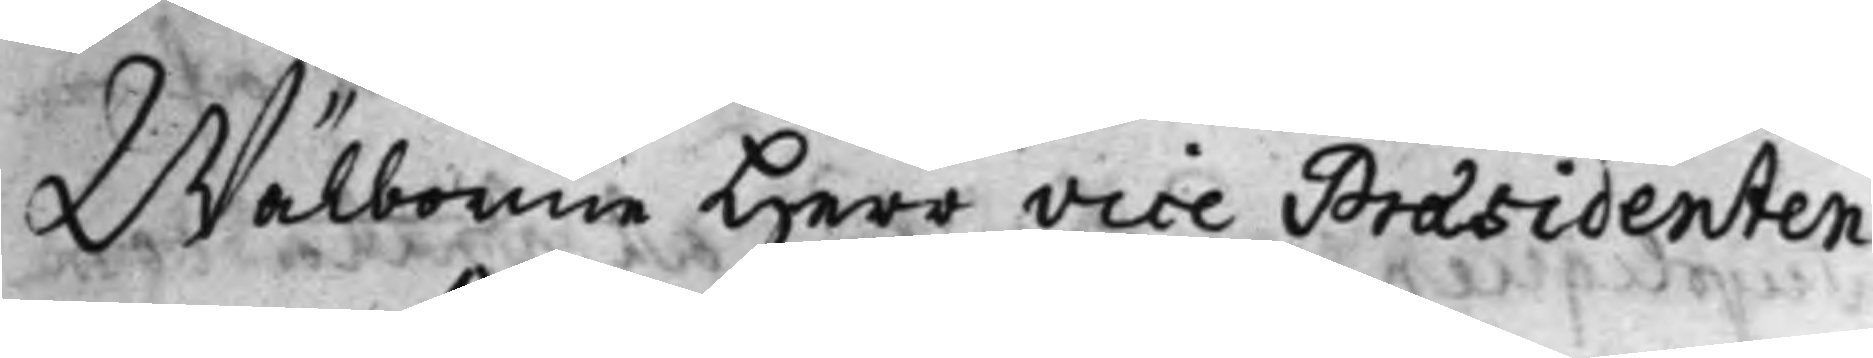Wälborne Herr Vice Præsidenten
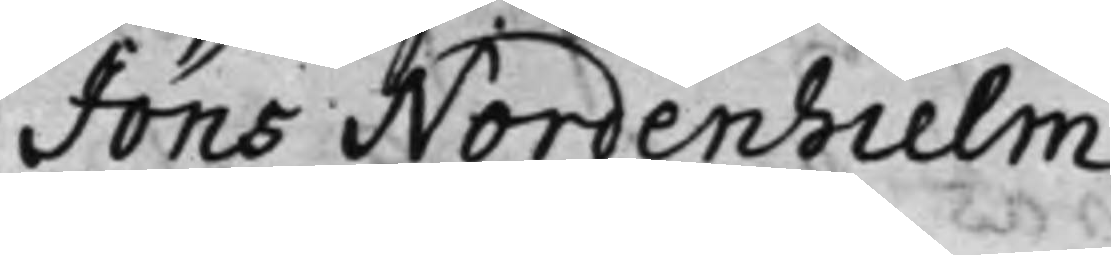Jöns Nordenhielm
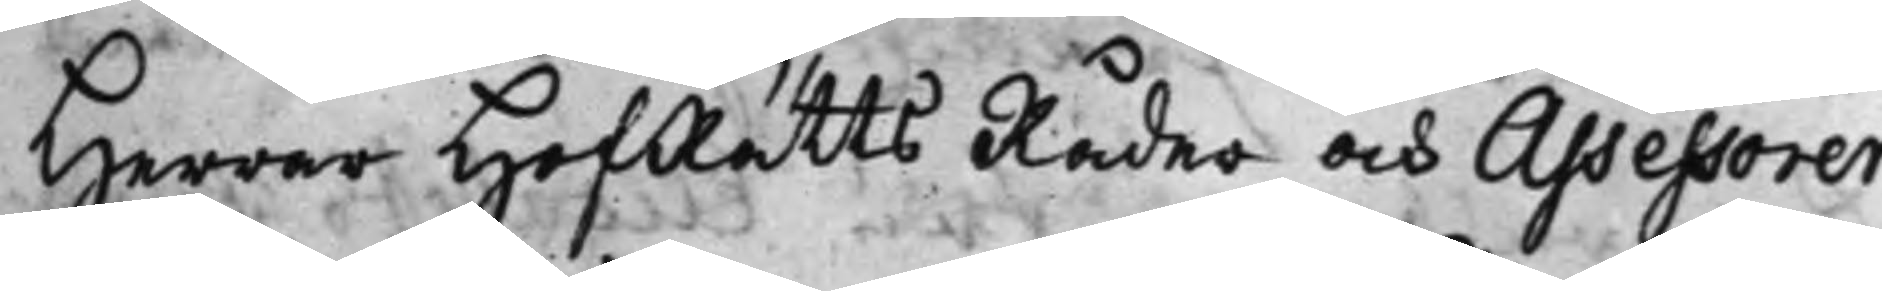Herrar HofRätts Råder och Assessorer
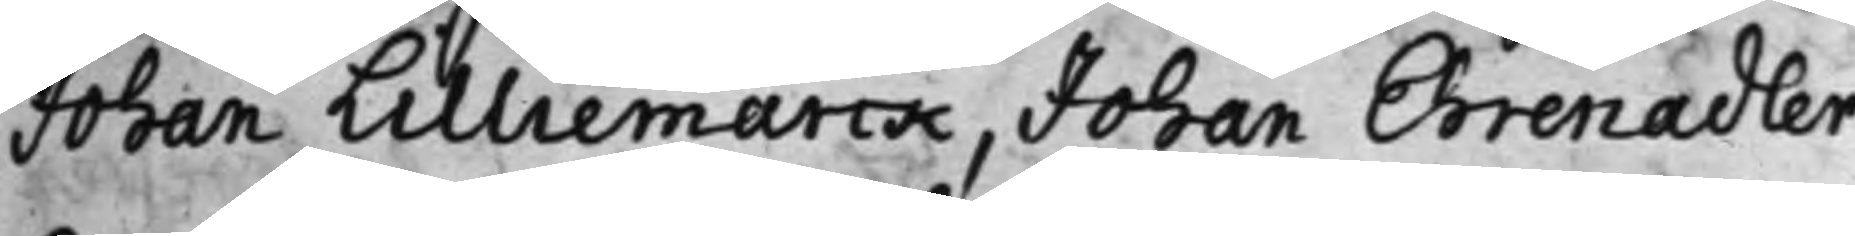Johan Lilliemarck, Johan Ehrenadler
